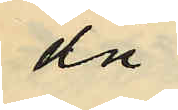då
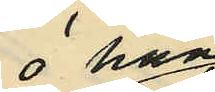 han
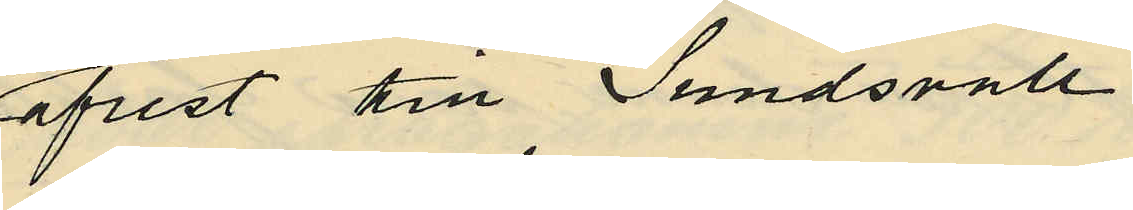afrest till Sundsvall
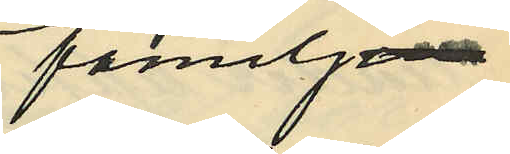familj
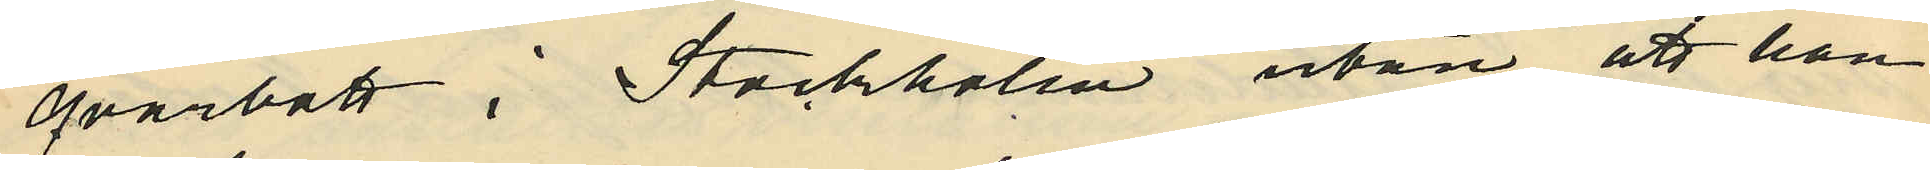qvarbott i Stockholm utan att han
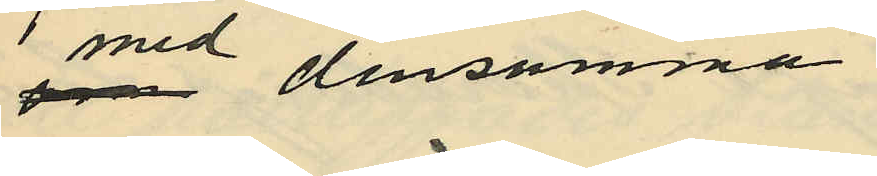med densamma
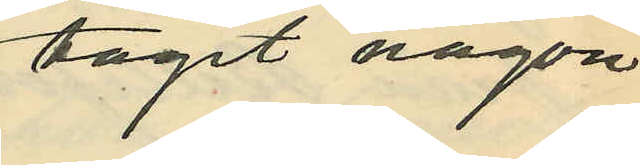tagit någon
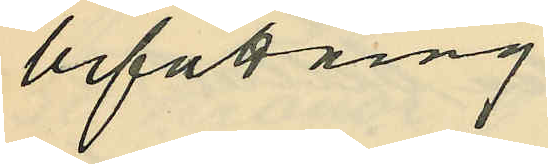befattning
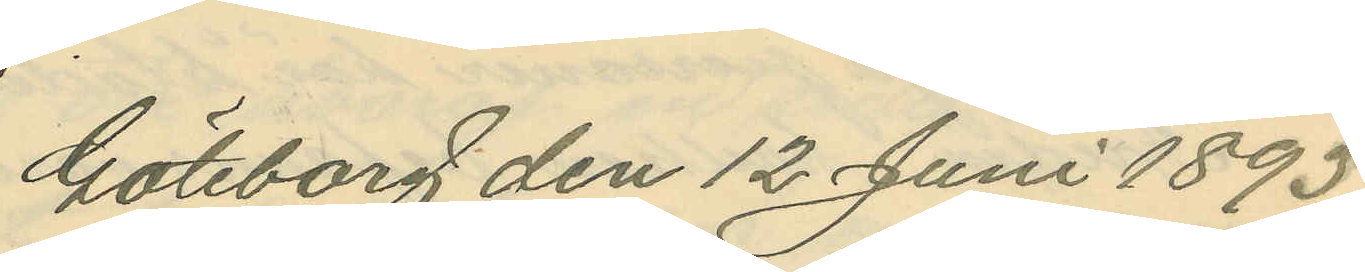Göteborg den 12 Juni 1893.
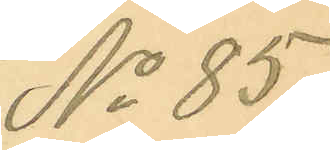No 85.
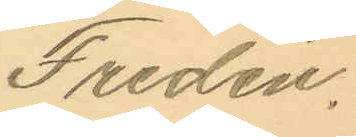Fredén.
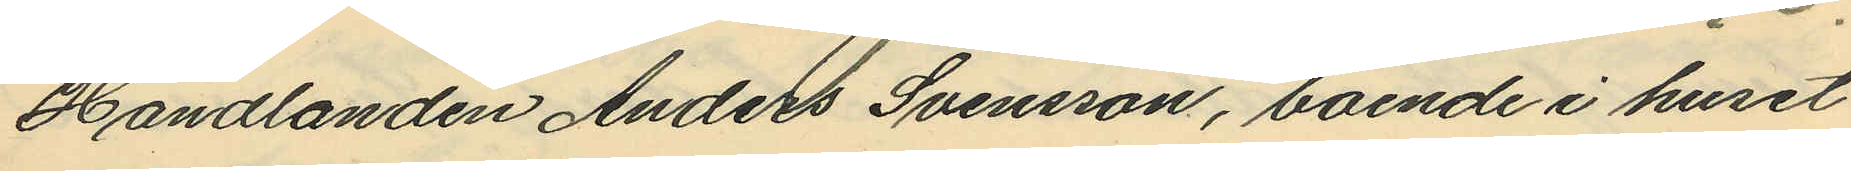Handlanden Anders Svensson, boende i huset
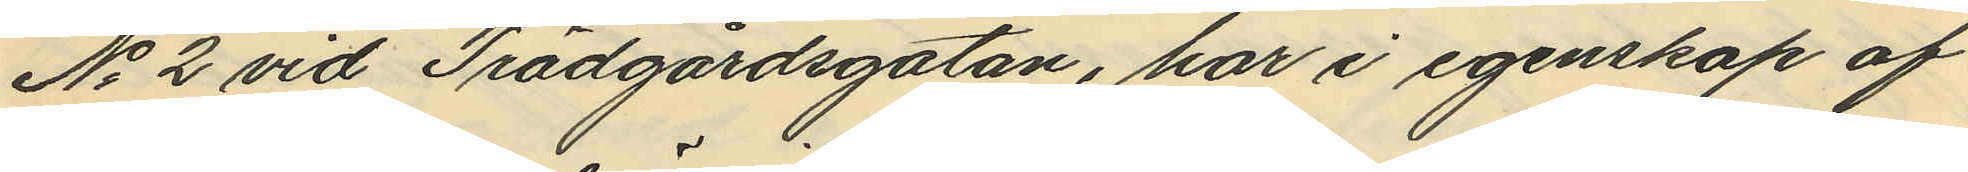No 2 vid Trädgårdsgatan, har i egensköp af
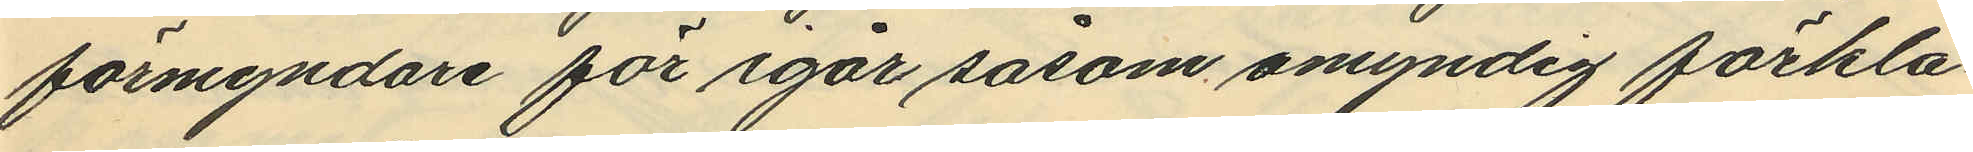förmyndare för igår såsom omyndig förkla¬
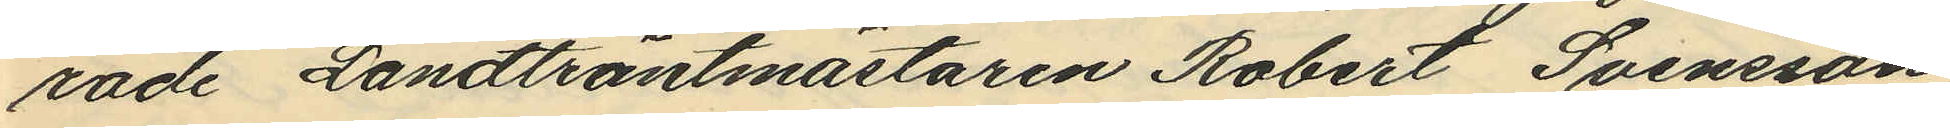rade Landträntmästaren Robert Svensson,
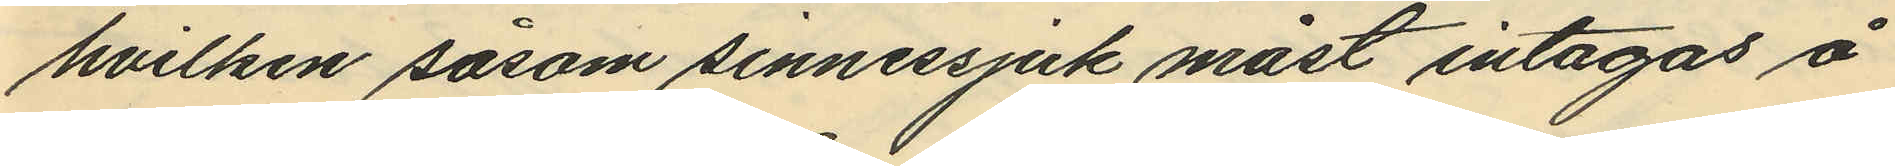hvilken såsom sinnessjuk måst intagas å
